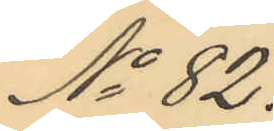No 82.
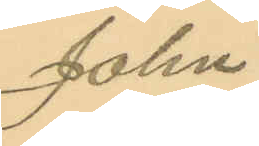Johan
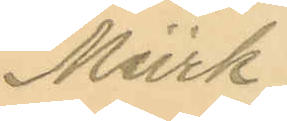Mürk.
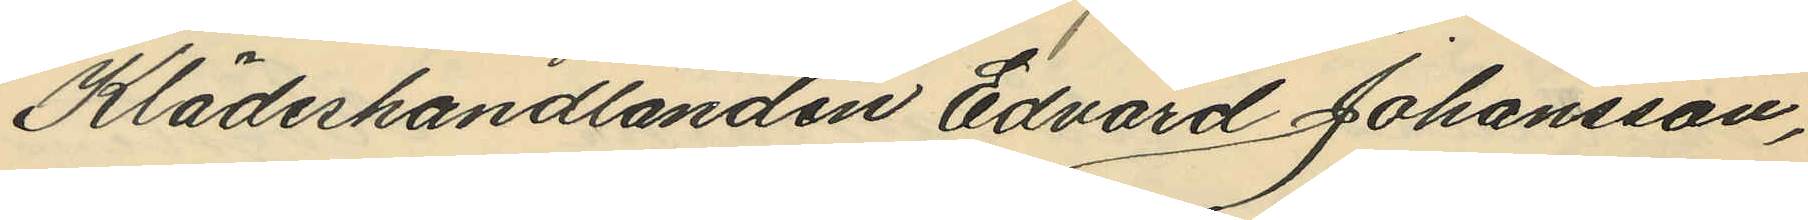Klädeshandlanden Edvard Johansson,
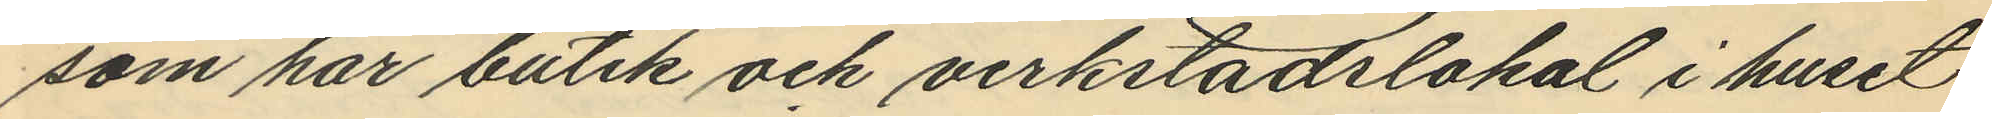som har butik och verkstadslokal i huset
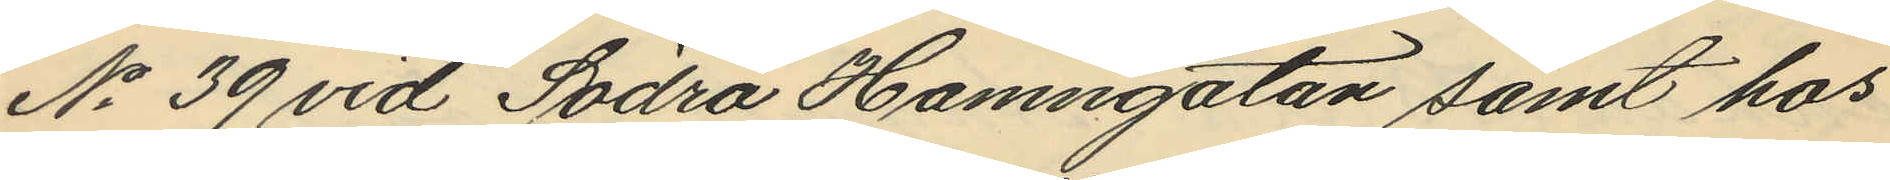No 39 vid Södra Hamngatan samt hos
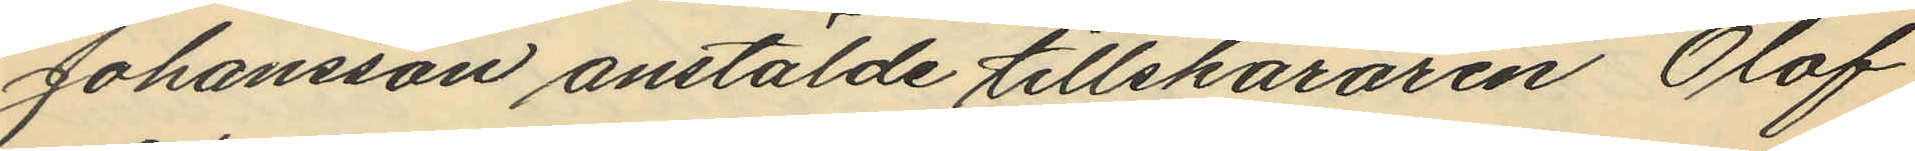Johansson anstälde tillskäraren Olof
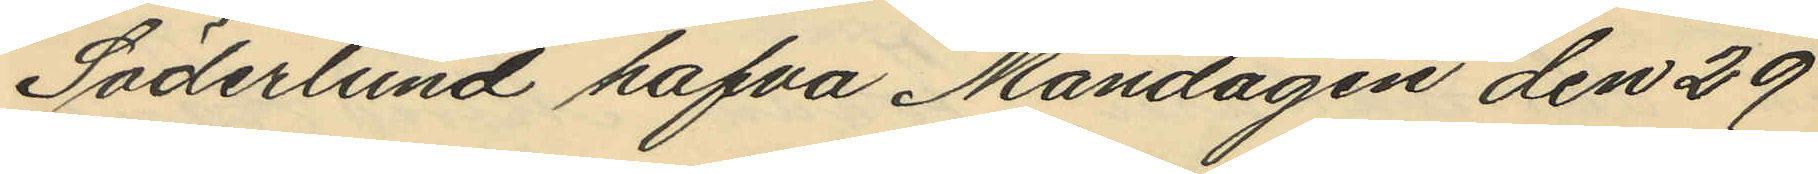Söderlund hafva Måndagen den 29
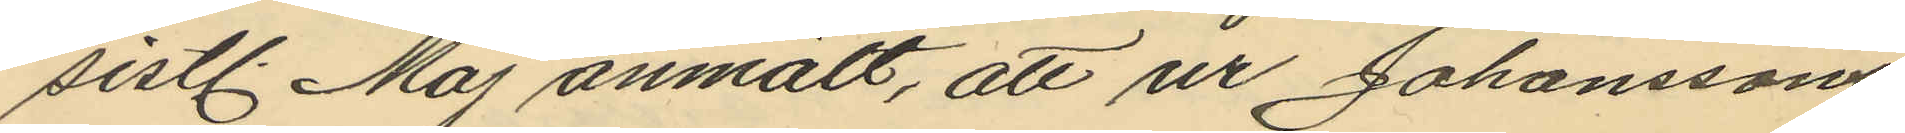sistl. Maj anmält, att ur Johanssons
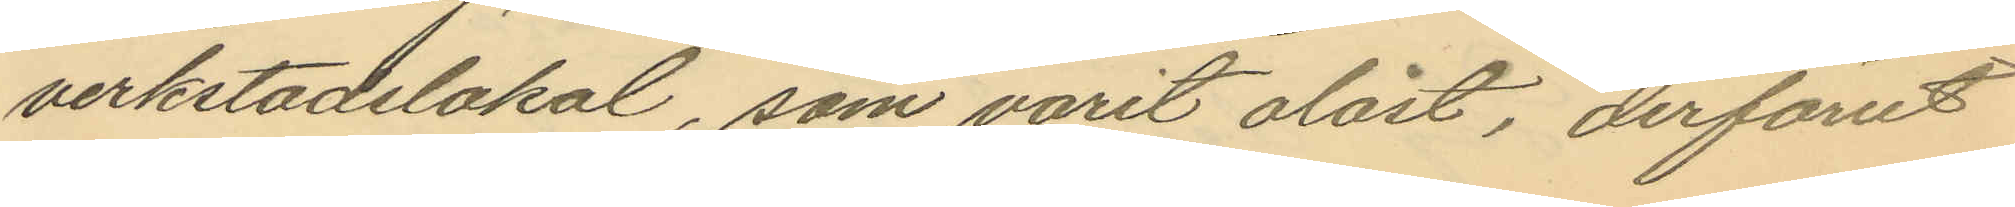verkstadslokal, som varit olåst, derförut
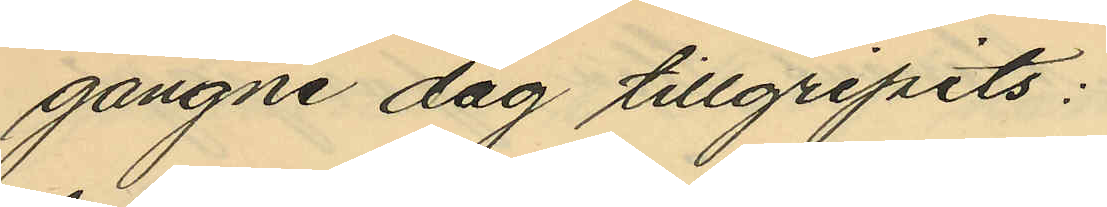gångne dag tillgripits:
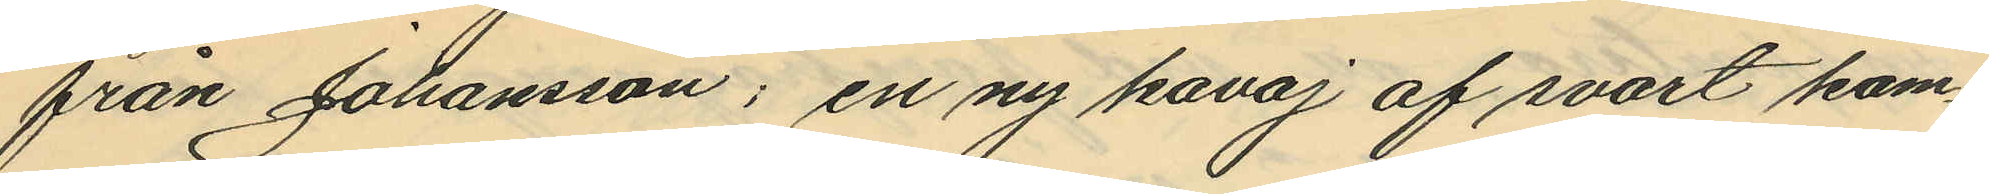från Johansson; en ny kavaj af svart kam¬
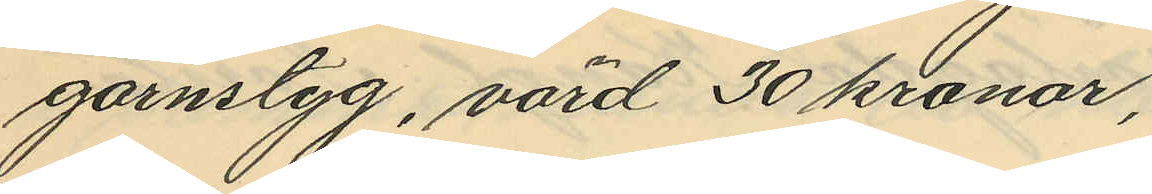garnstyg, värd 30 kronor,
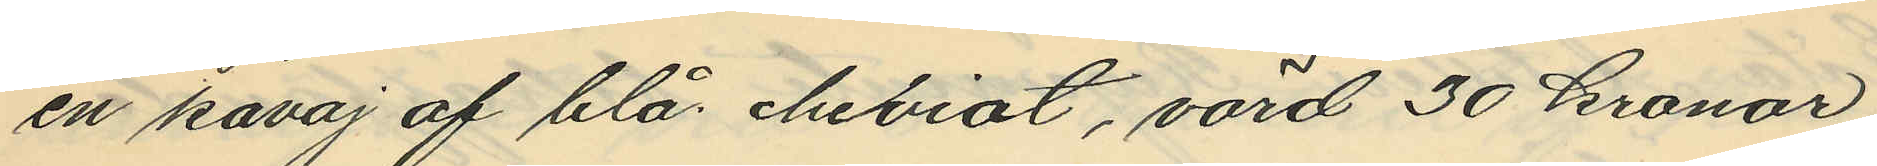en kavaj af blå cheviot, värd 30 kronor
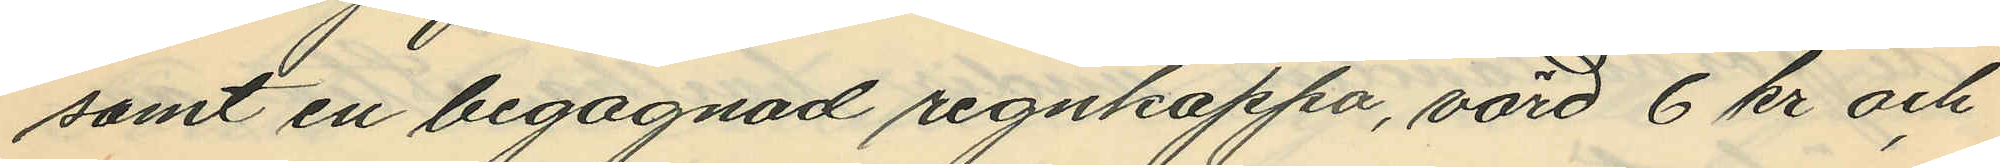samt en begagnad regnkappa, värd 6 kr och
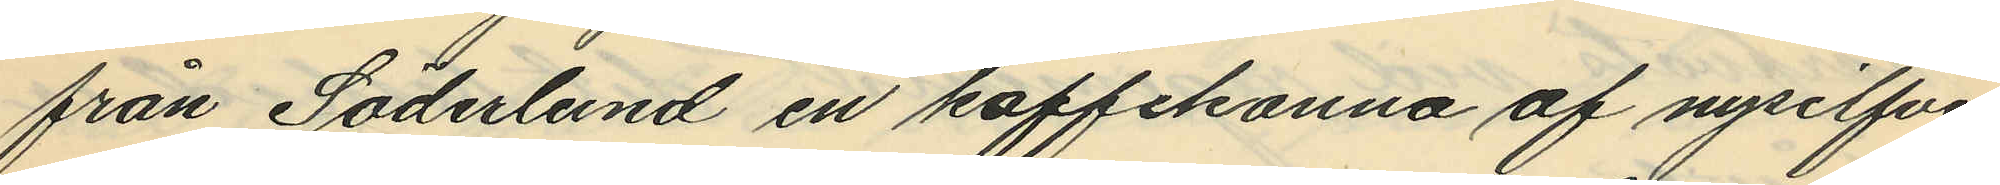från Söderlund en kaffekanna af nysilfver
